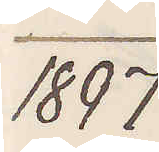1897
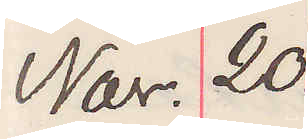Nov. 20.
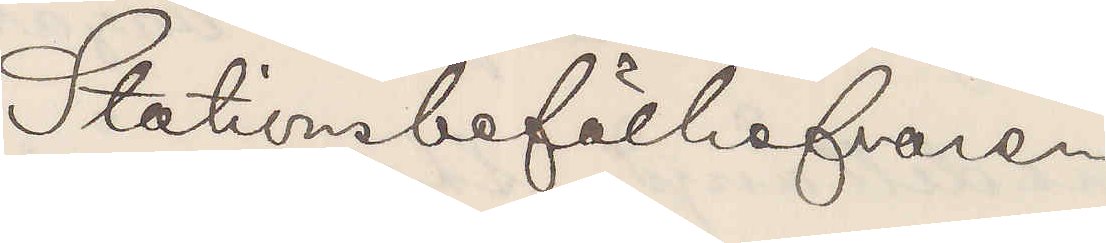Stationsbefälhafvaren
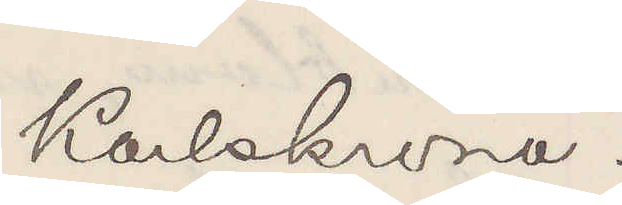Karlskrona.
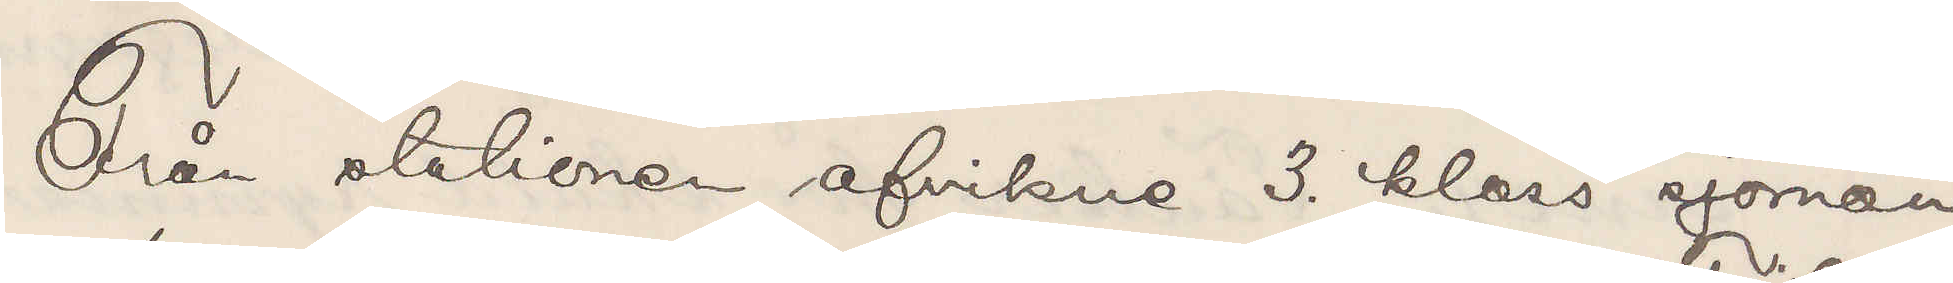Från stationen afvikne 3. klass sjöman¬
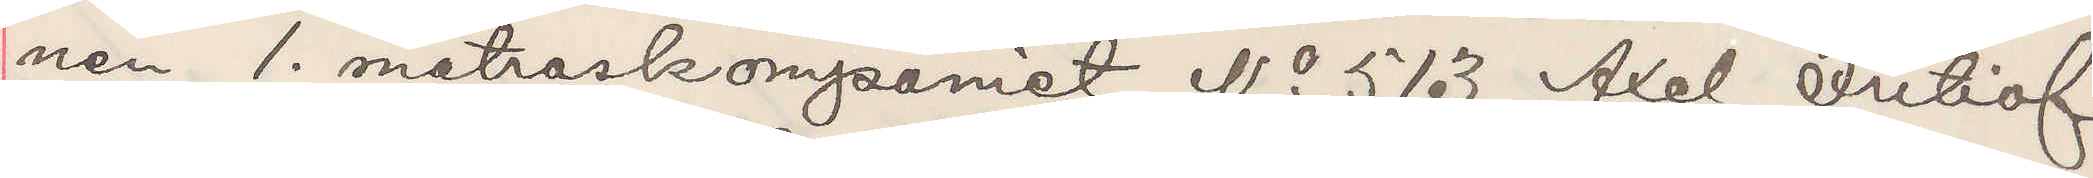nen 1. matroskompaniet No 513 Axel Fritiof
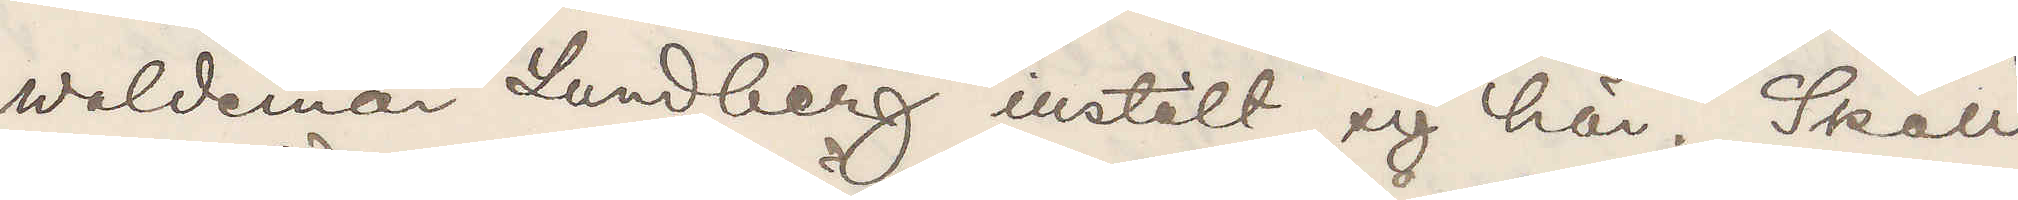Waldemar Lundberg inställt sig här. Skall
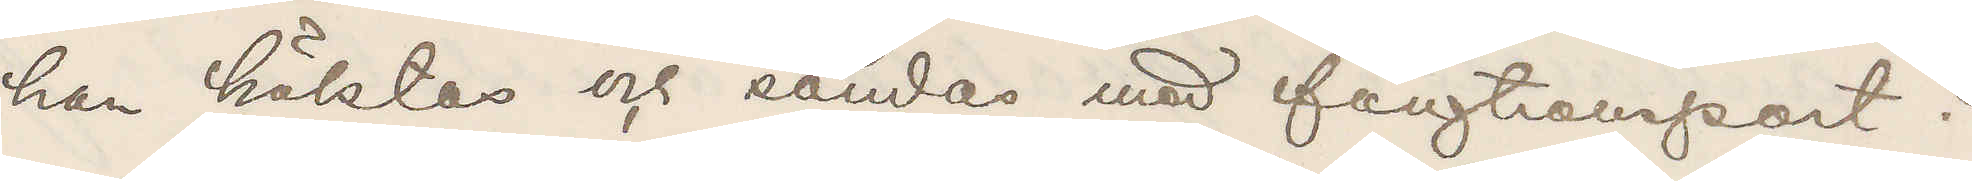han häktas och sändas med fångtransport?
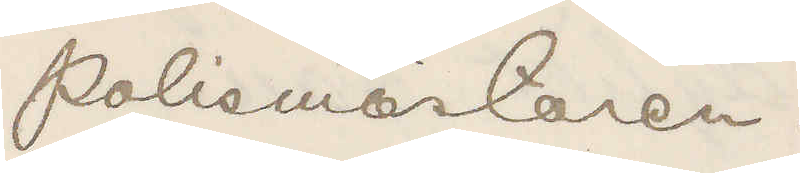Polismästaren.
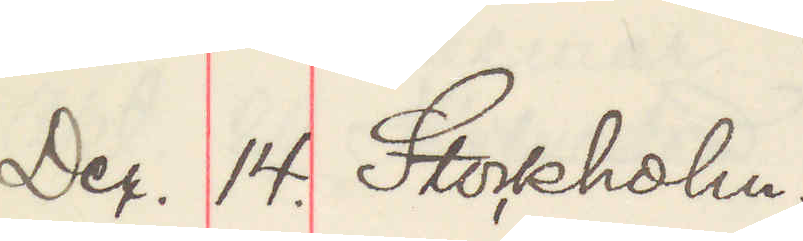Dec. 14. Stockholm.
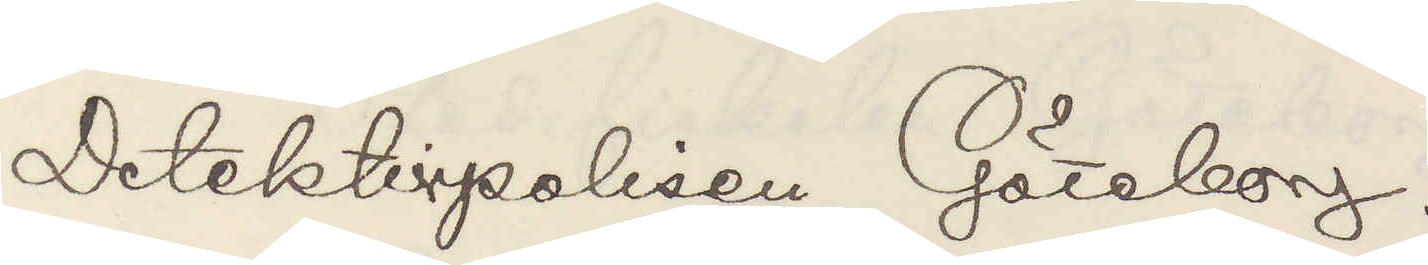Detektivpolisen Göteborg.
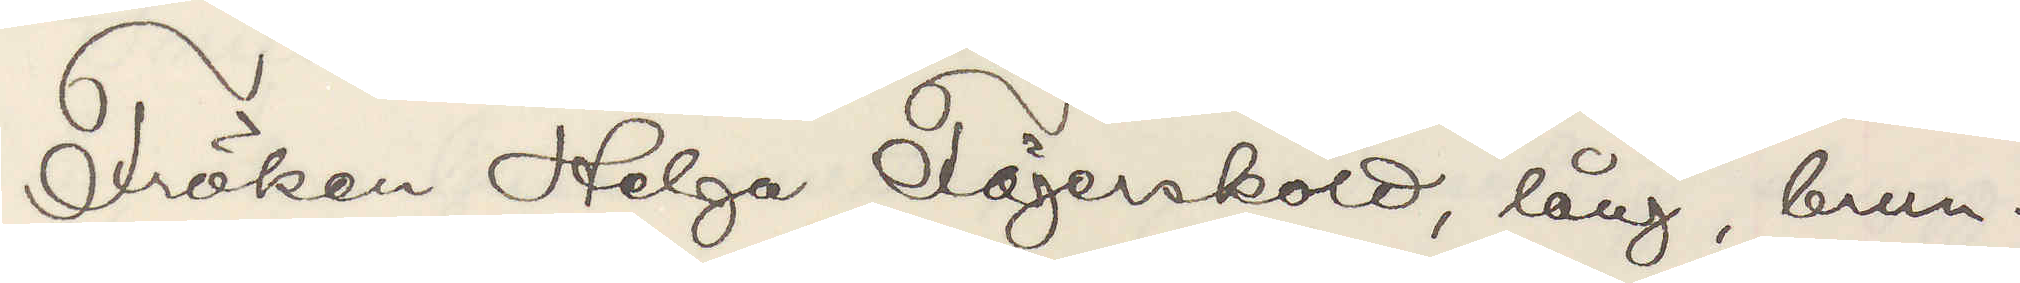Fröken Helga Fägersköld, lång, brun¬
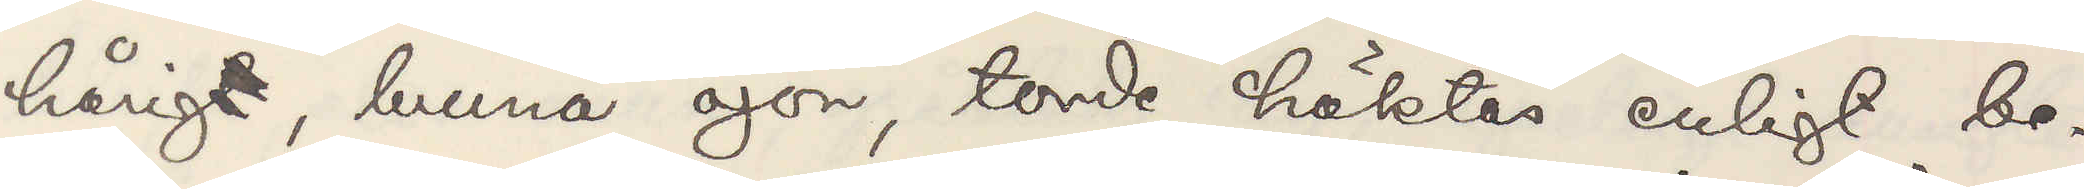hårigt, bruna öjon, torde häktas enligt be¬
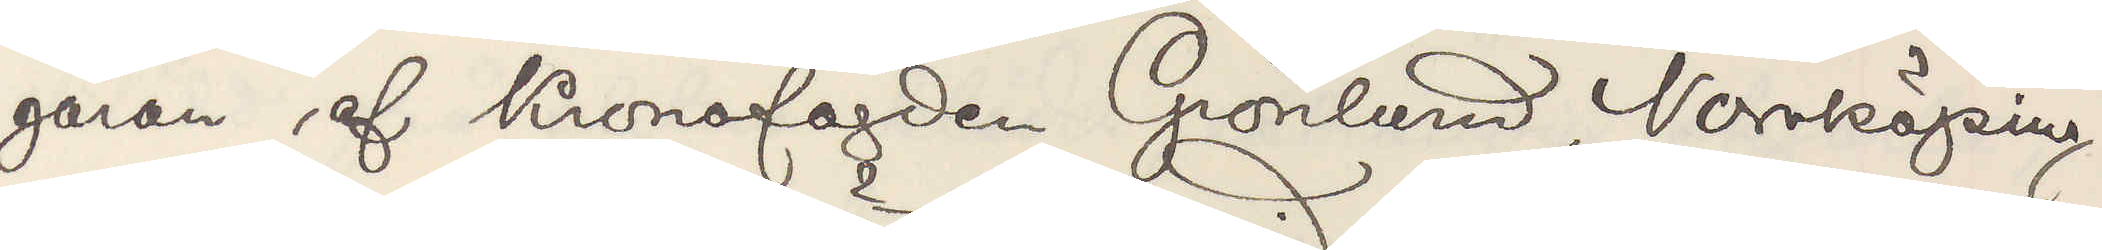gäran af Kronofogden Grönlund, Norrköping,
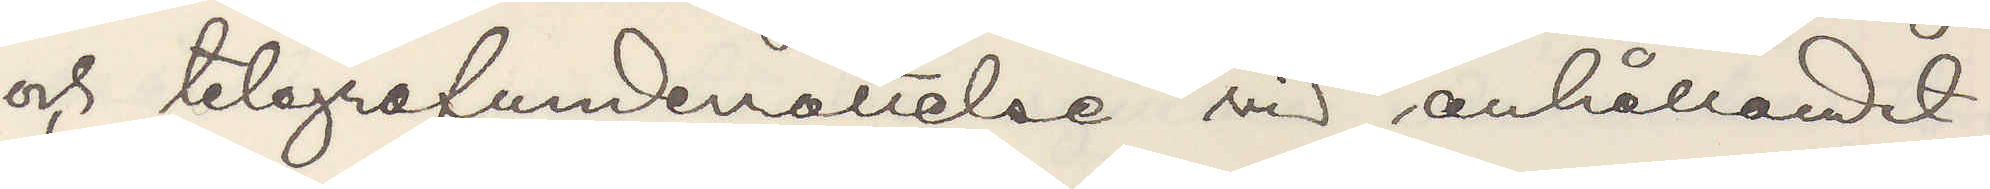och telegrafunderrättelse vid anhållandet
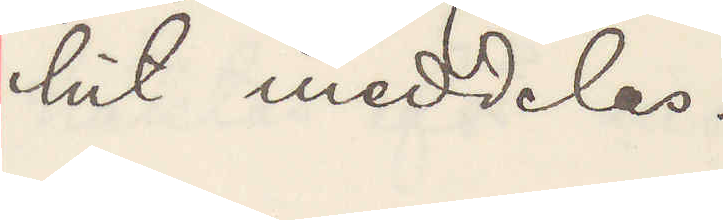hit meddelas.
